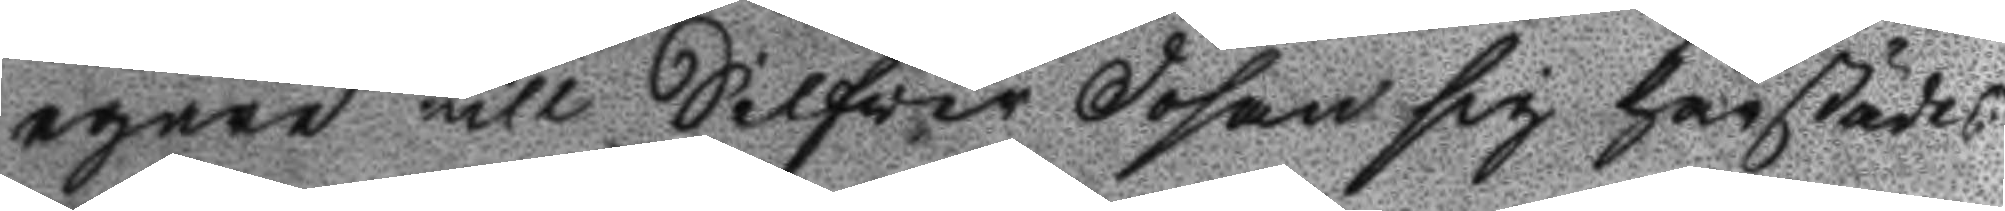egare till Silfver Dosan sig härstädes
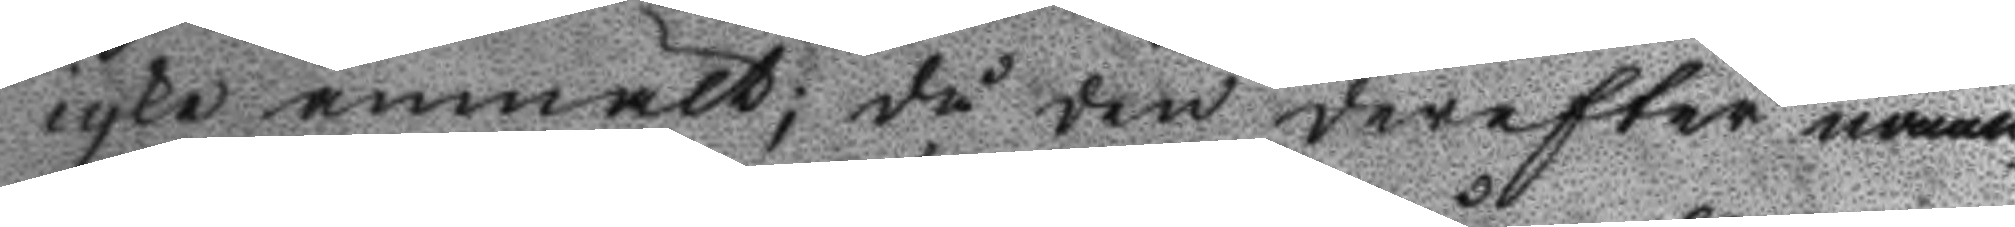icke anmält; då den derefter noaan
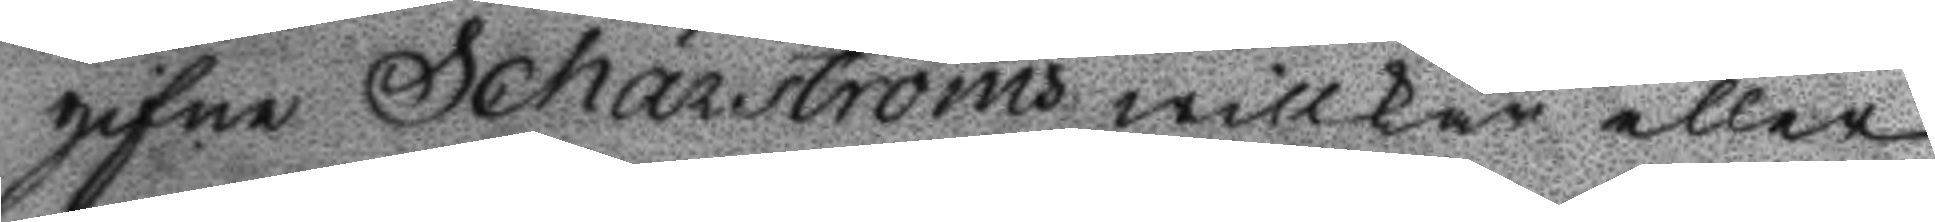gifne Schärströms willkår eller
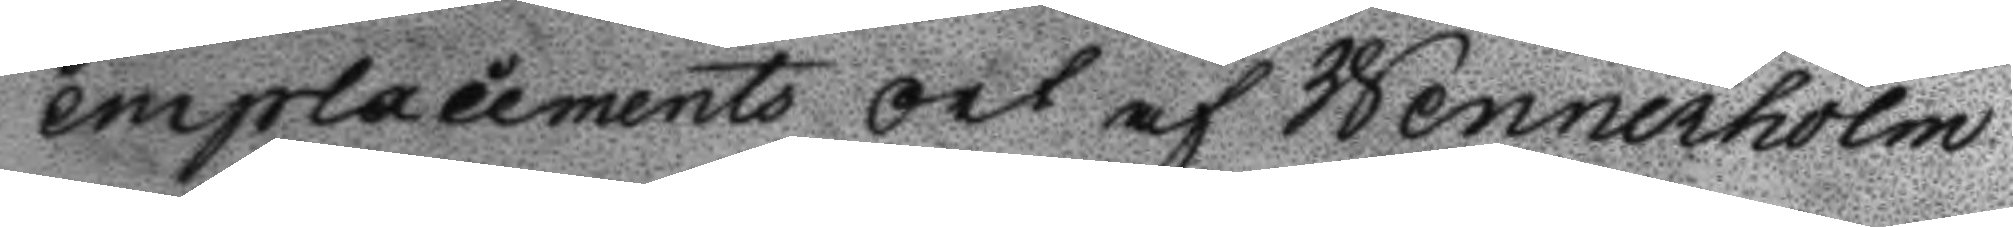emplacements ort af Wennerholm
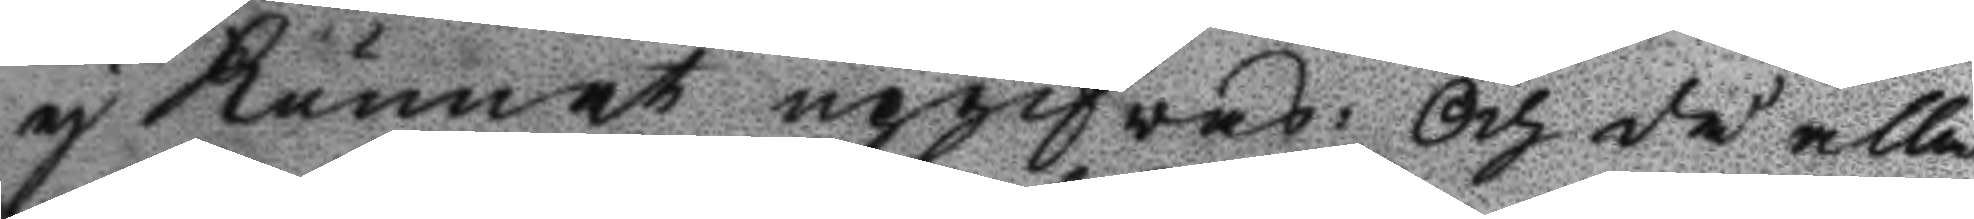ej Kunnat upgifvas: och då alla
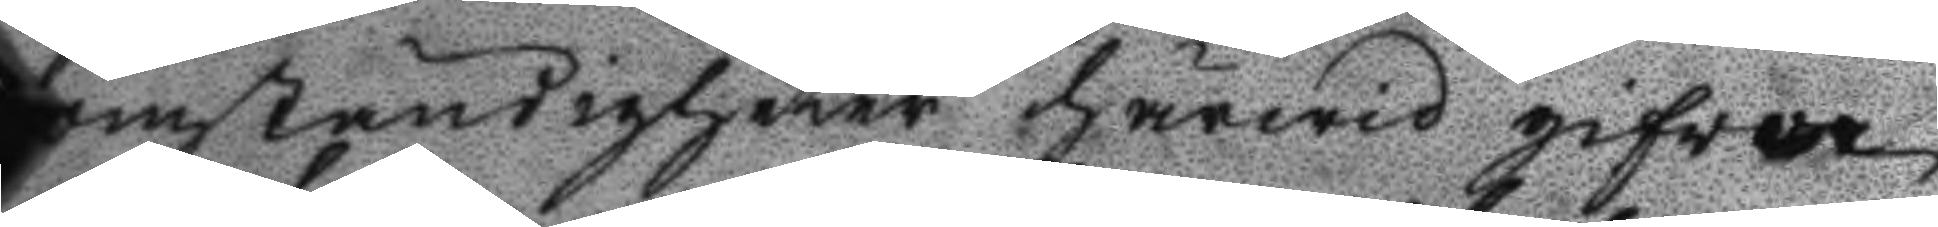omständigheter härwid gifwer
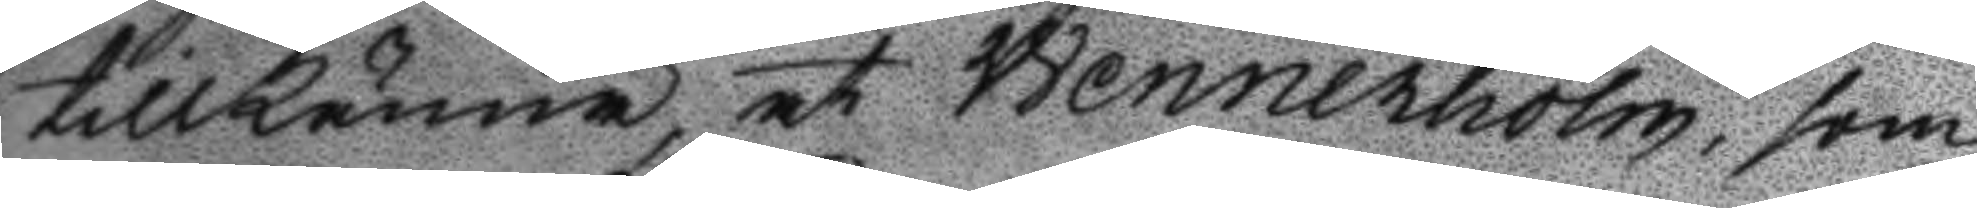tillkänna, at Wennerholm, som
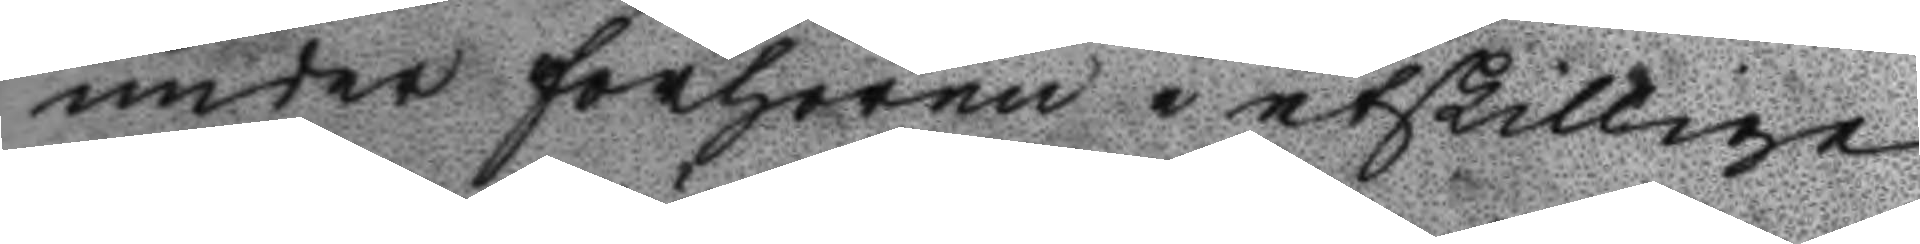under förhören i åtskillige
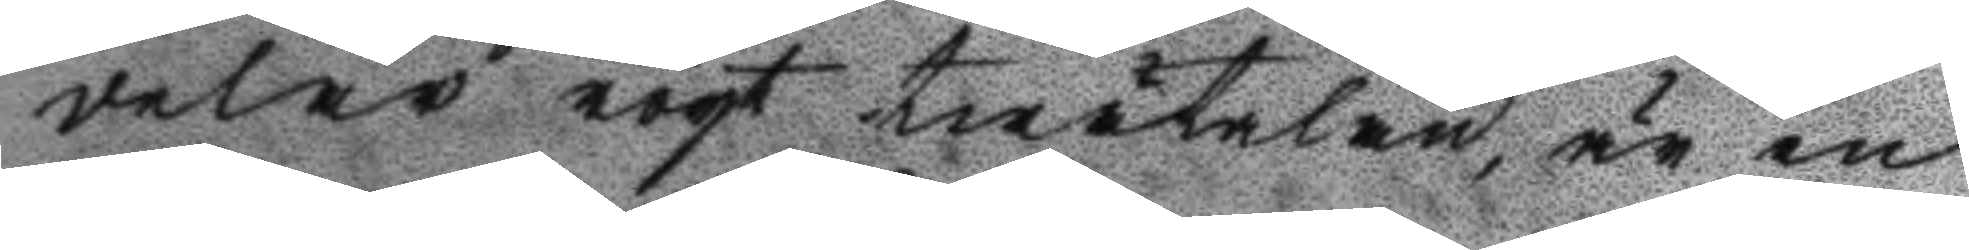delar rögt twätalan, är en
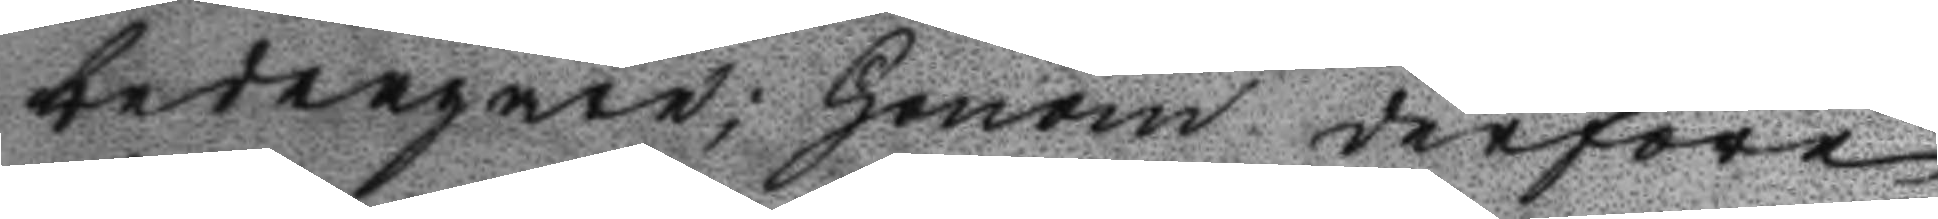bedragare; Honom derföre
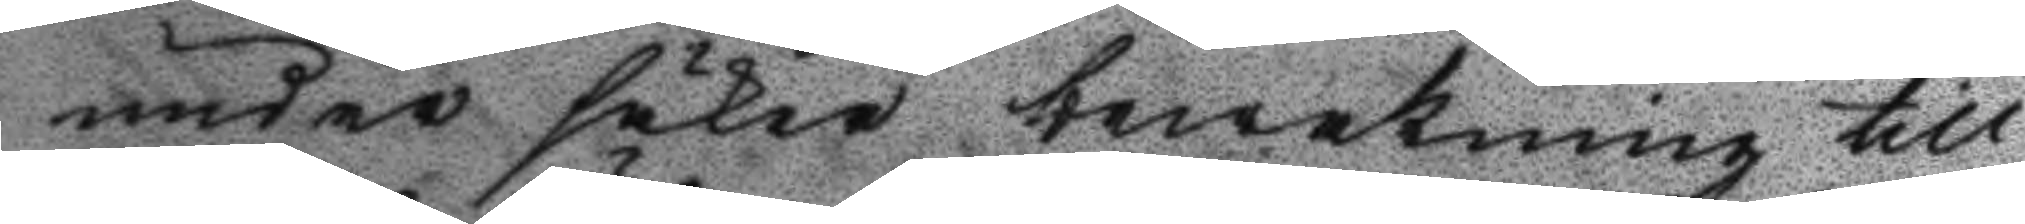under säker bewakning till
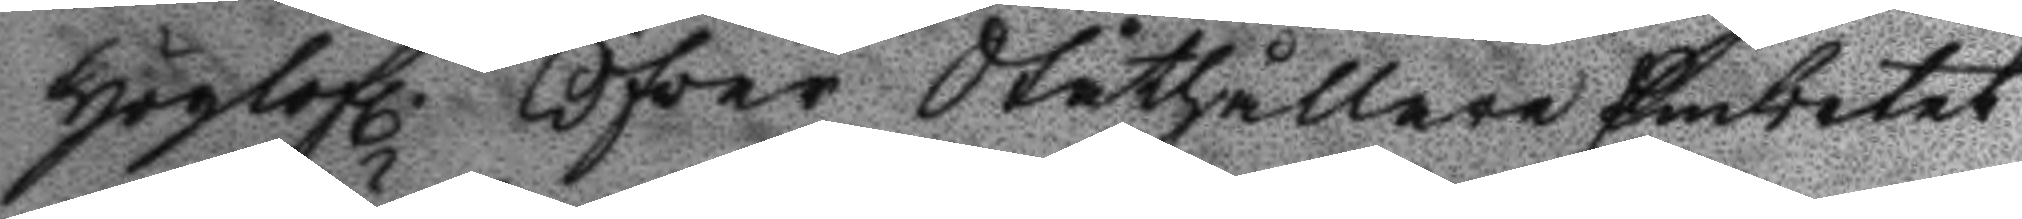höglofl. Öfver Ståthållare Embetet
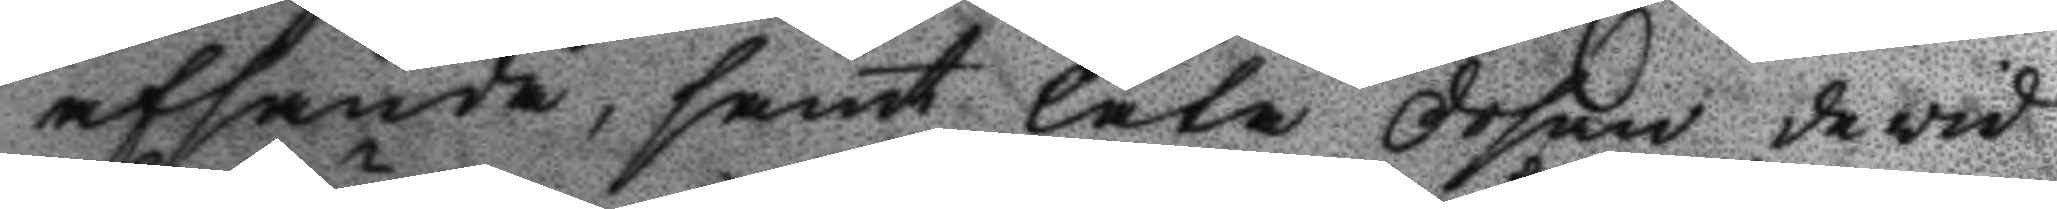afsända, samt låta Dosan de vid
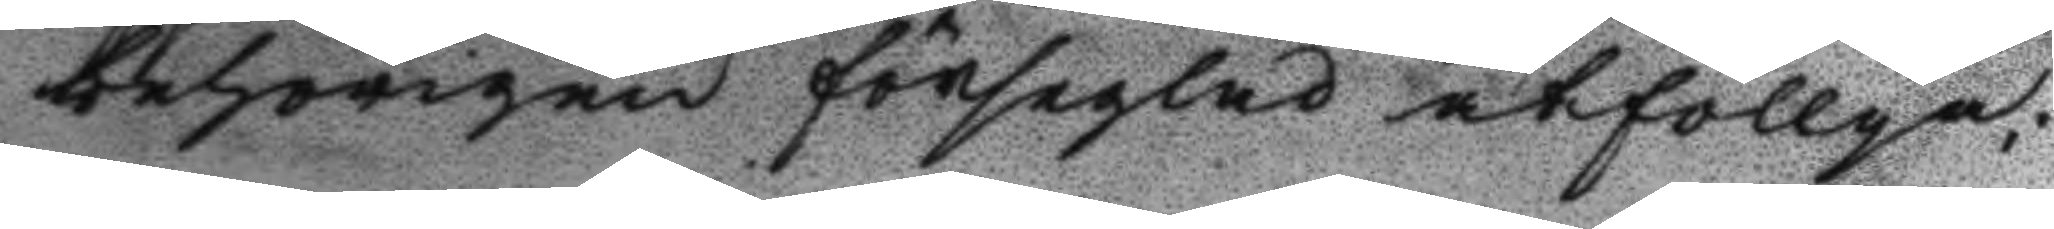behörigen förseglad åtföllja;
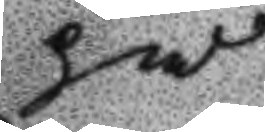på
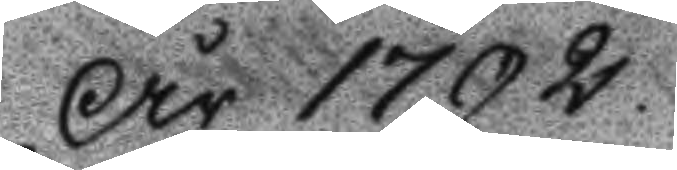År 1792
